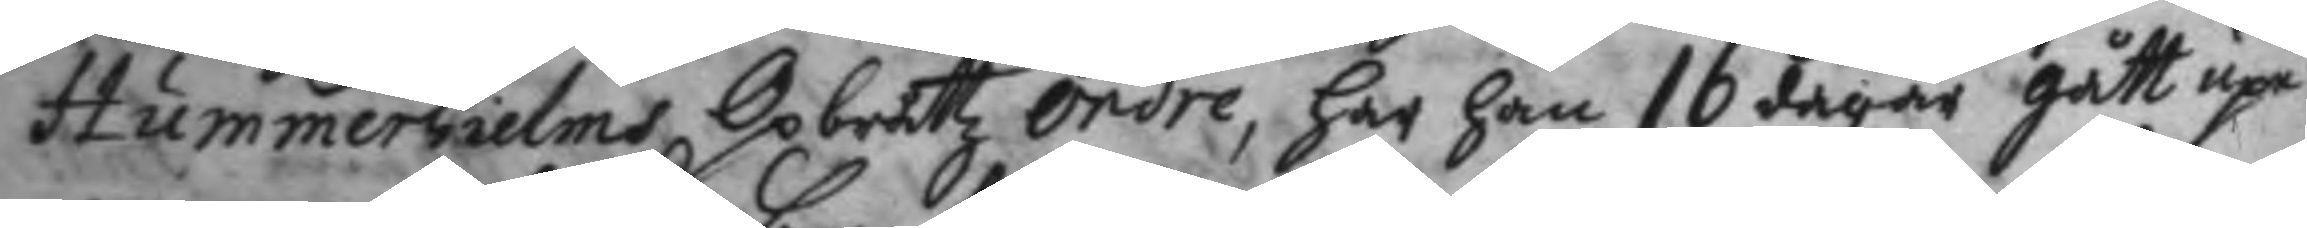Hummerhielms Opbråttz ordre, har han 16 dagar gått upe
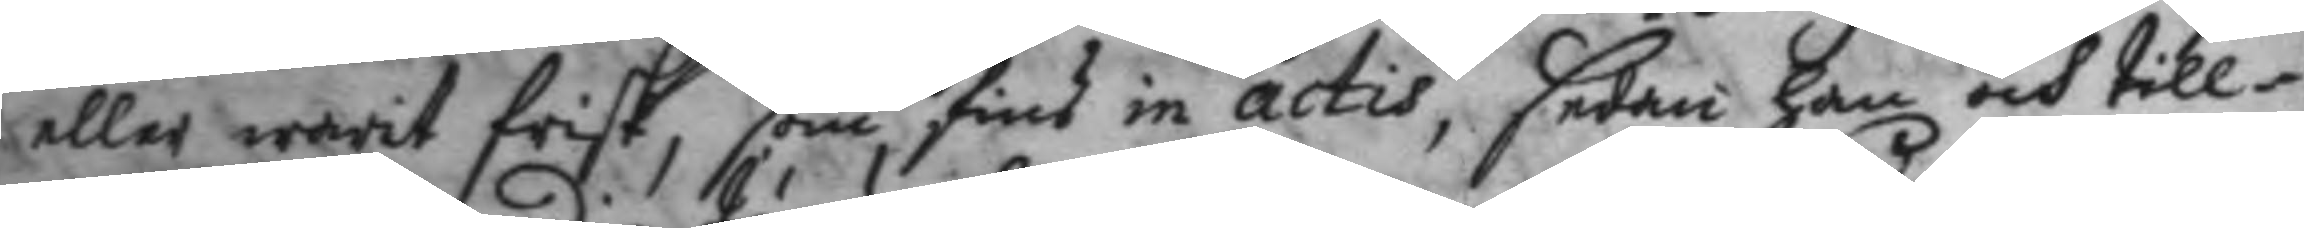eller warit frisk, som fins in actis, sedan han och till¬
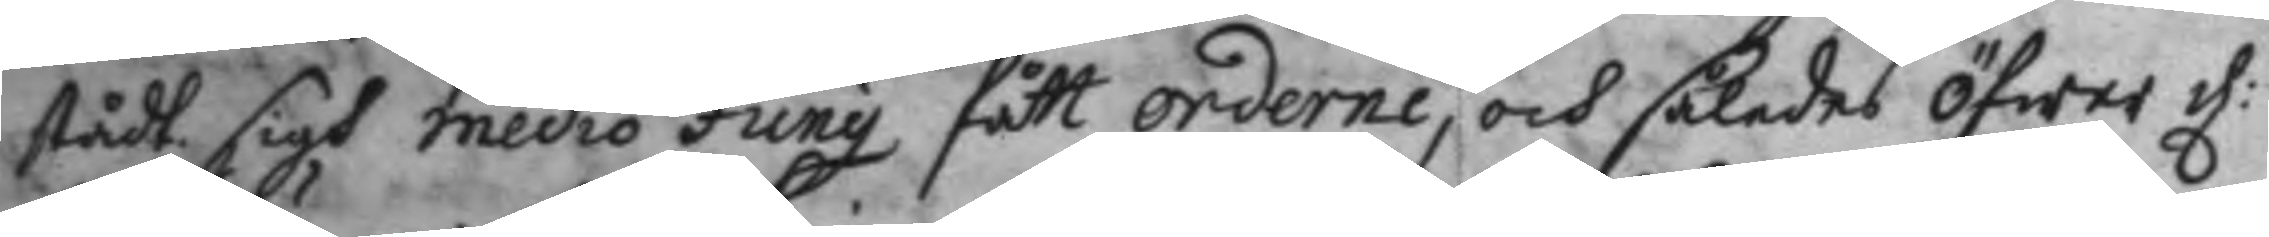stådt sigh medio Jung fått orderne, och således öfwer d: 
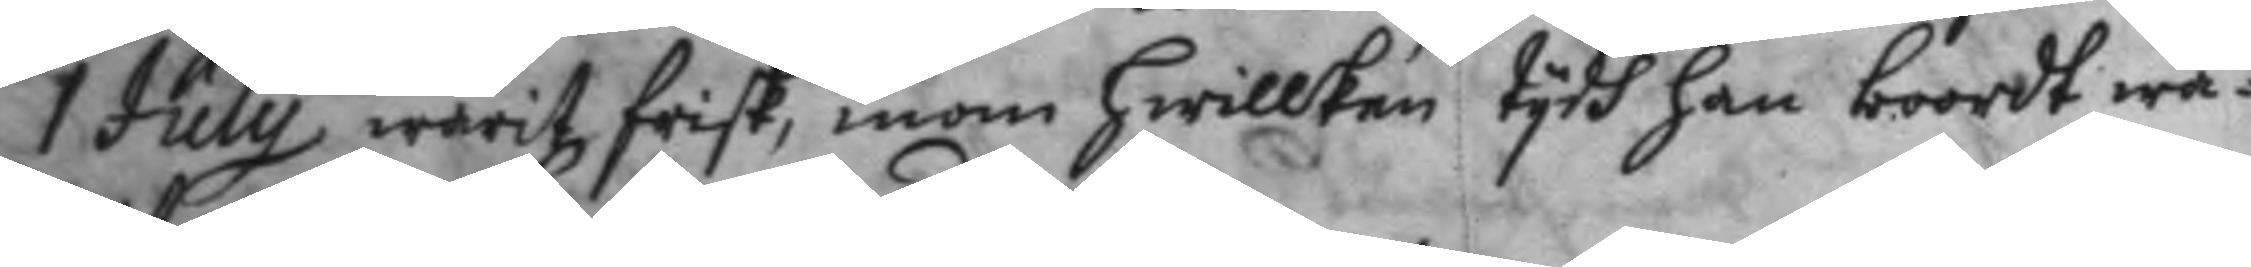1 July warit frisk, inon hwilken tydh han boordt wa¬
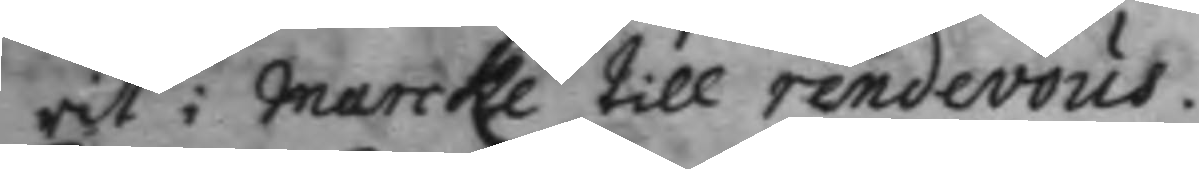rit i Marcke till rendevous.
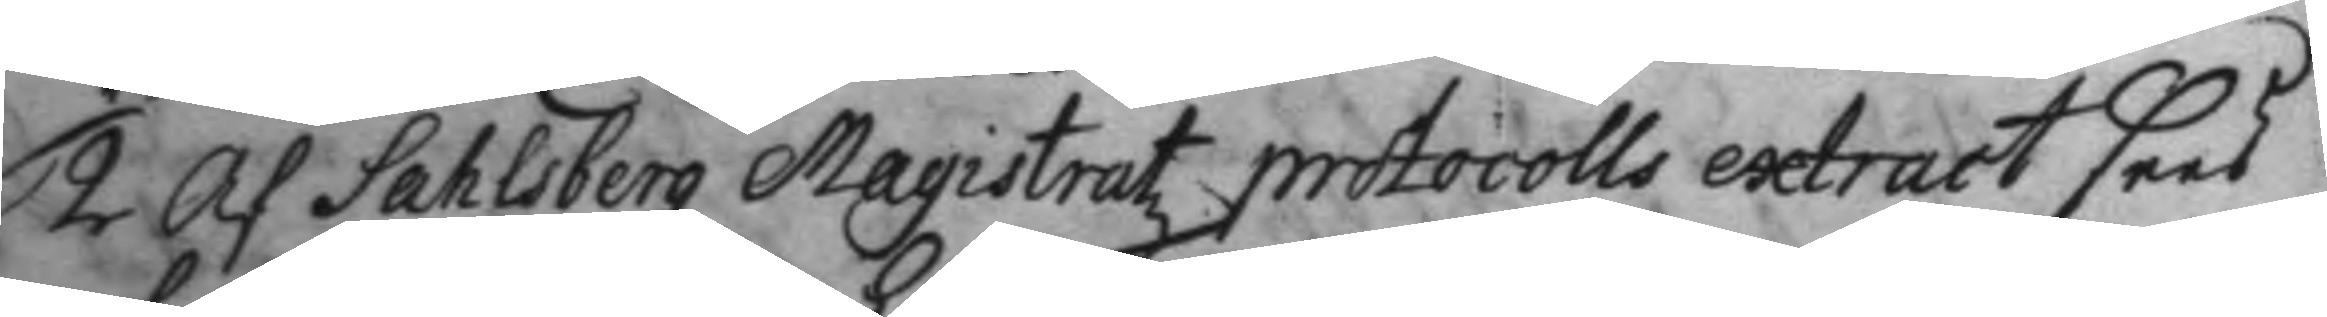2 Af Sahlsbergz Magistratz protocolls extract sees
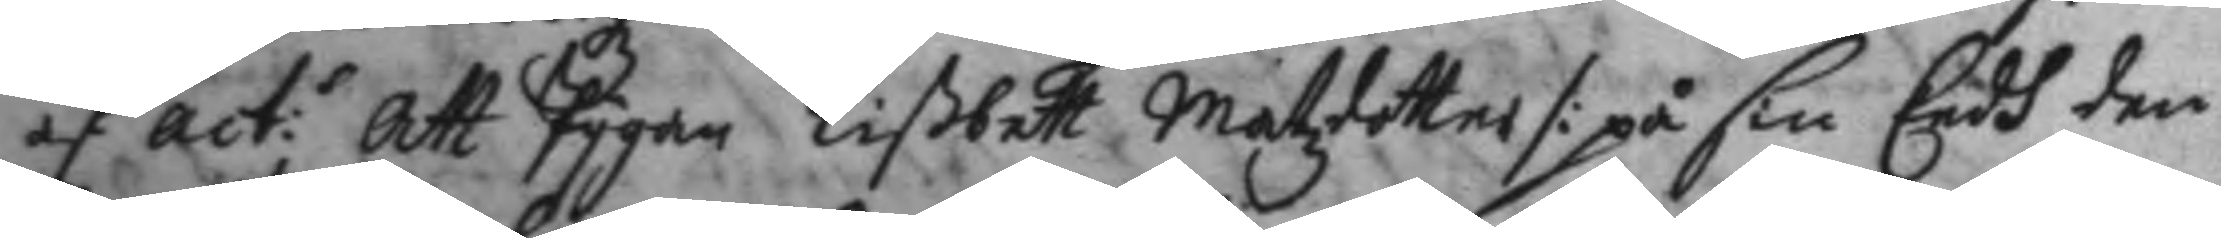af act: Att Pygan Lißbett Matzdotter /: på sin Eedh den 
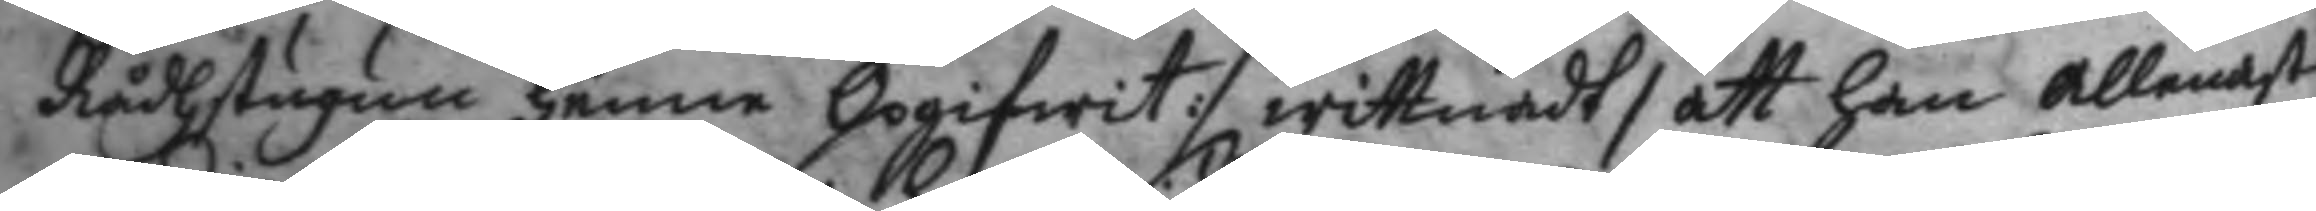Rådhstugun henne Opgifwit :/ wittnadt, att han allenast
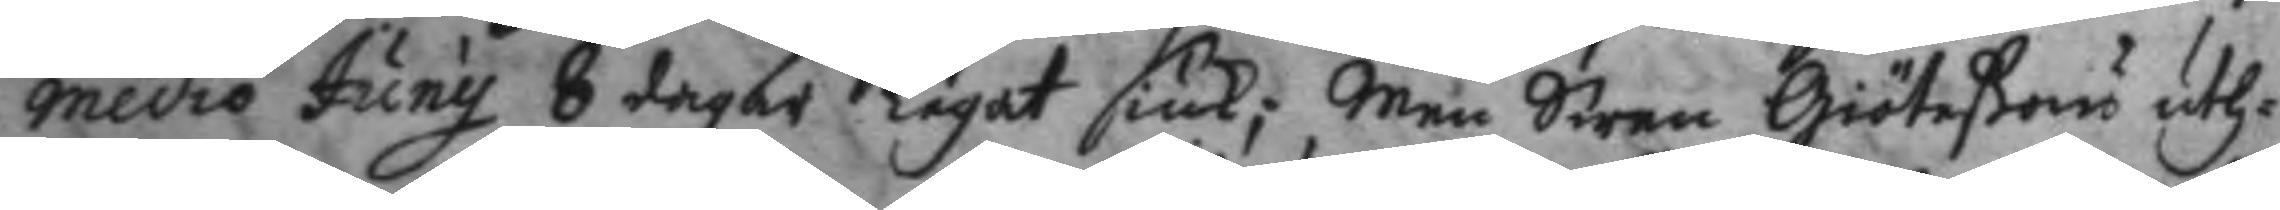medio Juny 8 dagar legat siuk; Men Swen Giöteßons uth¬
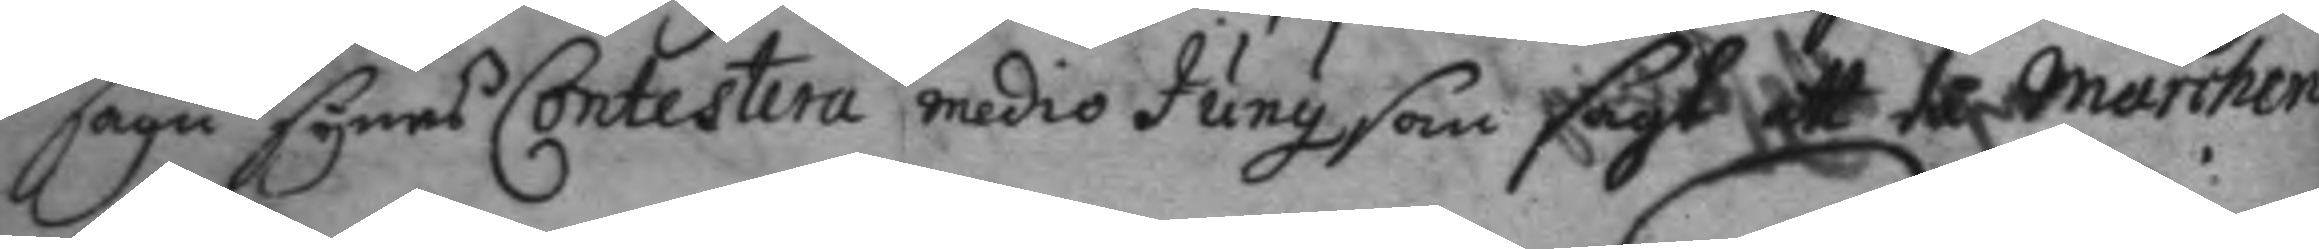sagu synes Contestera medio Juny som sagt ett tå Marchen
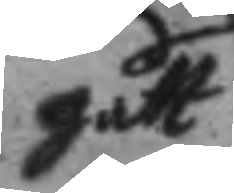gått
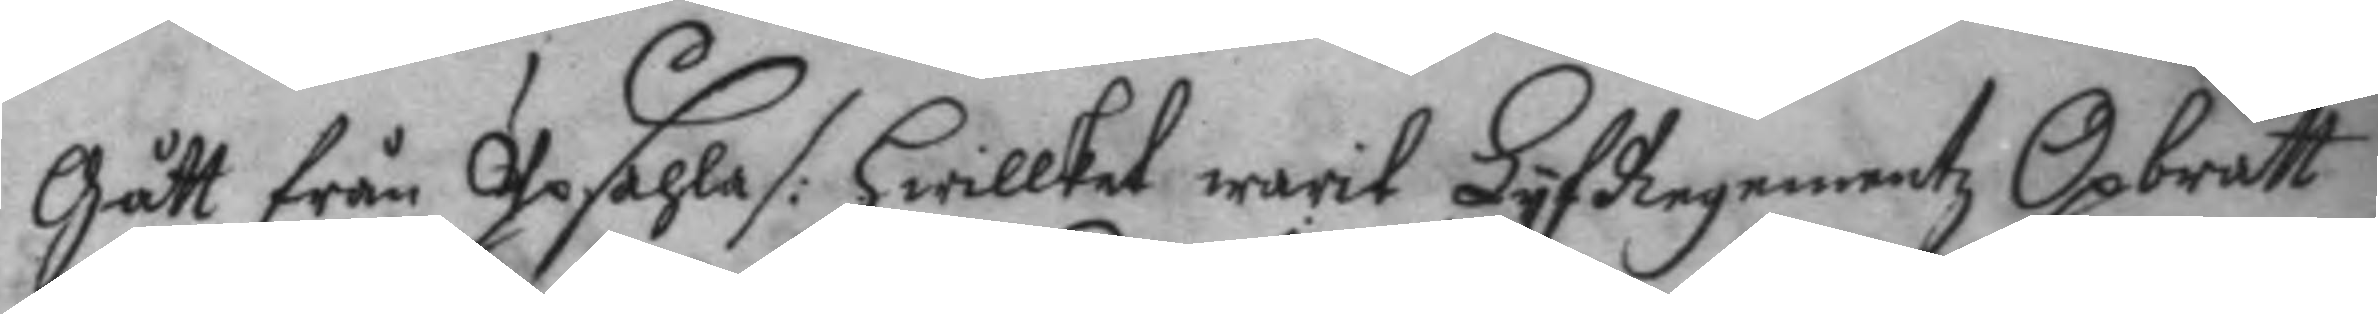Gått från Upsahla /: hwilket warit LyfRegementz Opbrått
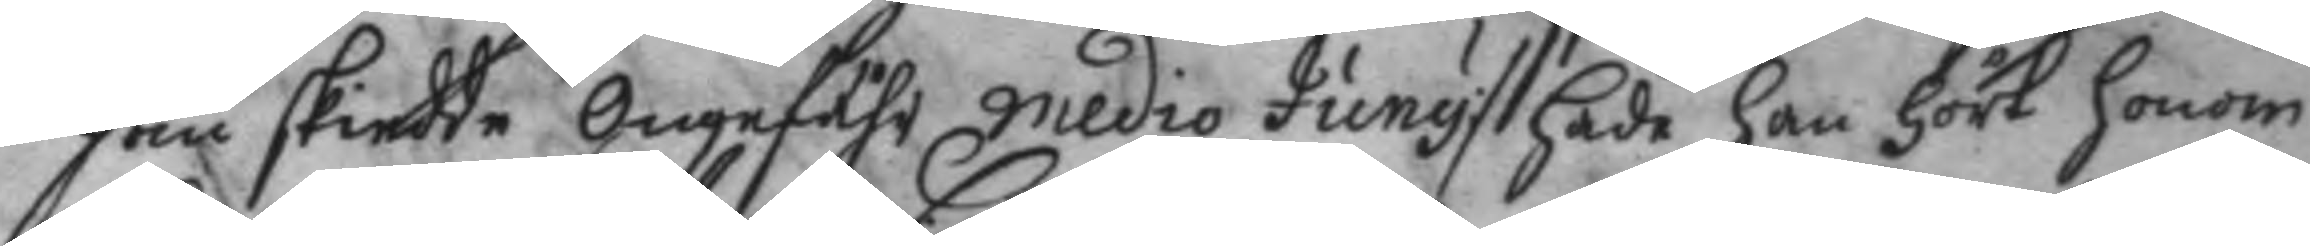som skiedde Ongefähr medio Juny :/ hade han hört honom
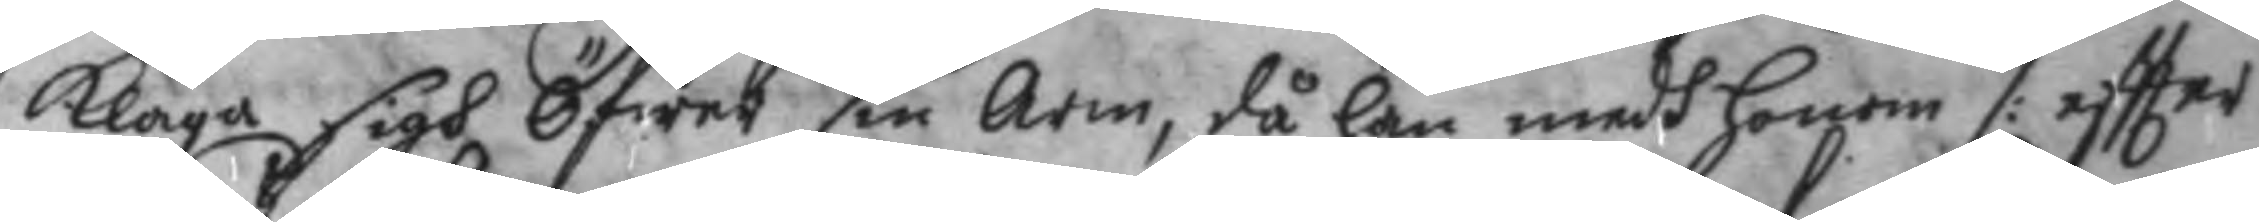klaga sigh Öfwer sin Arm, då han medh Honom /: eftter
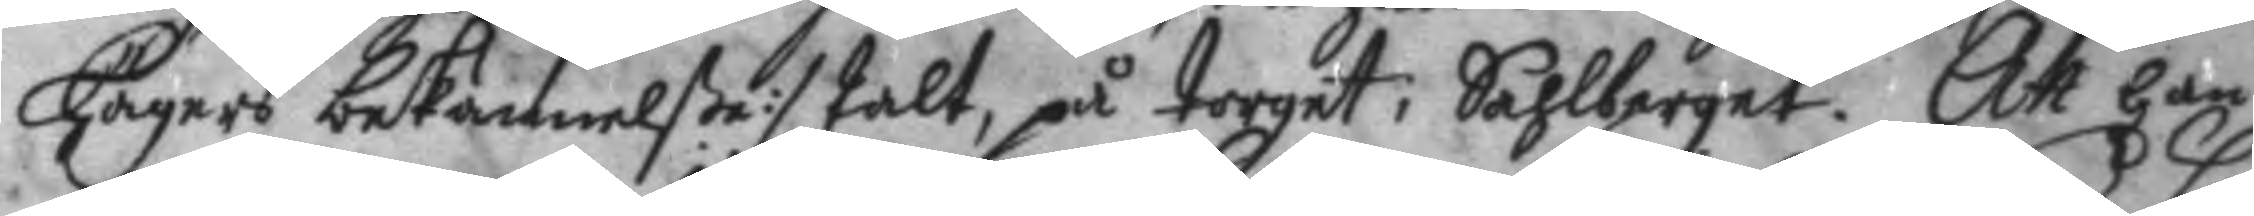Hägers bekännelße :/ talt, på torget i Sahlberget. Att han
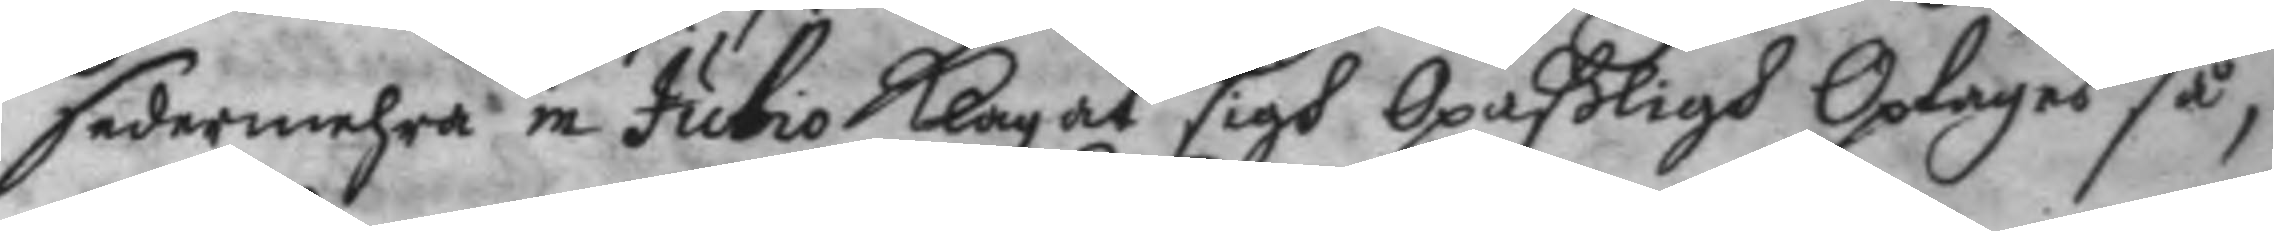sedermehra in Julio Klagat sigh Opaßligh Oplages så,
